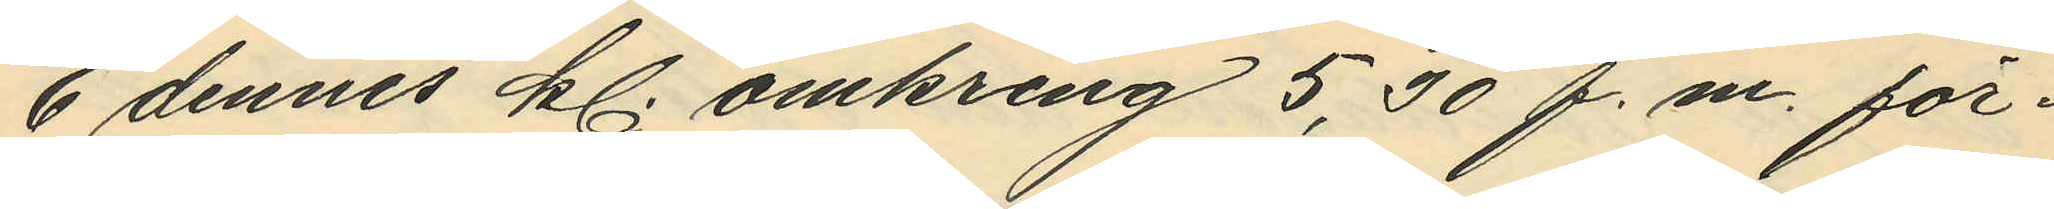6 dennes kl. omkring 5,30 f.m. för¬
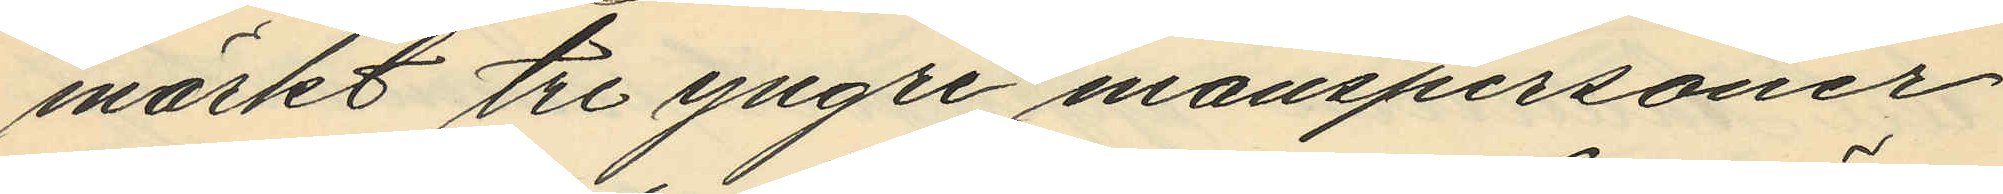märkt tre yngre manspersoner
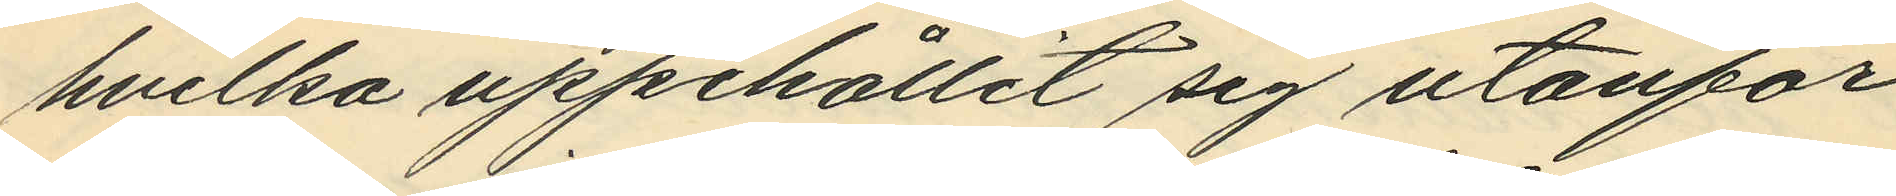hvilka uppehållit sig utanför
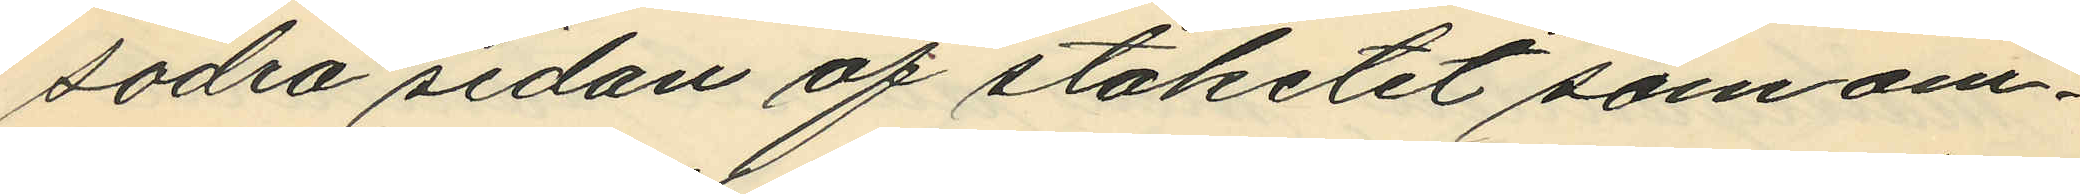södra sidan af staketet som om¬
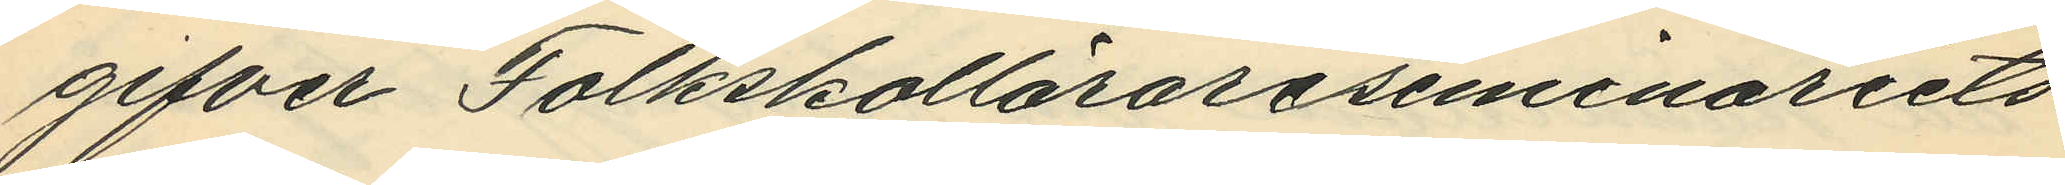gifver Folkskollärareseminariets
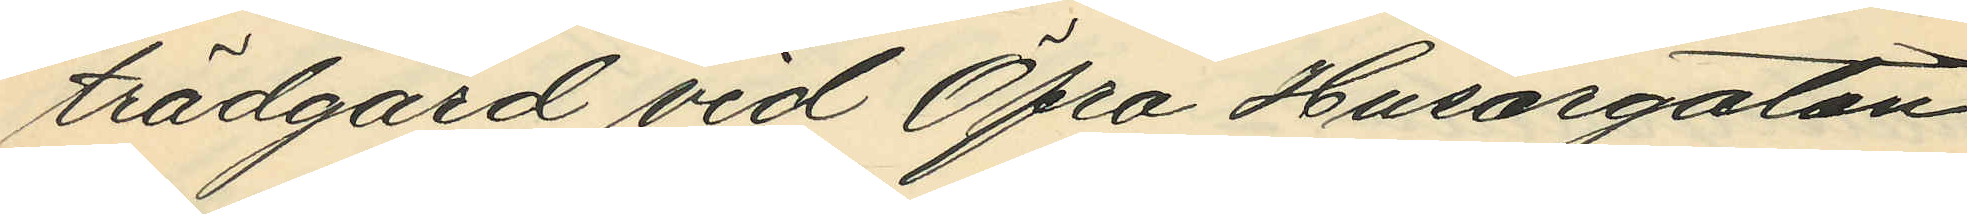trädgård vid Öfra Husargatan
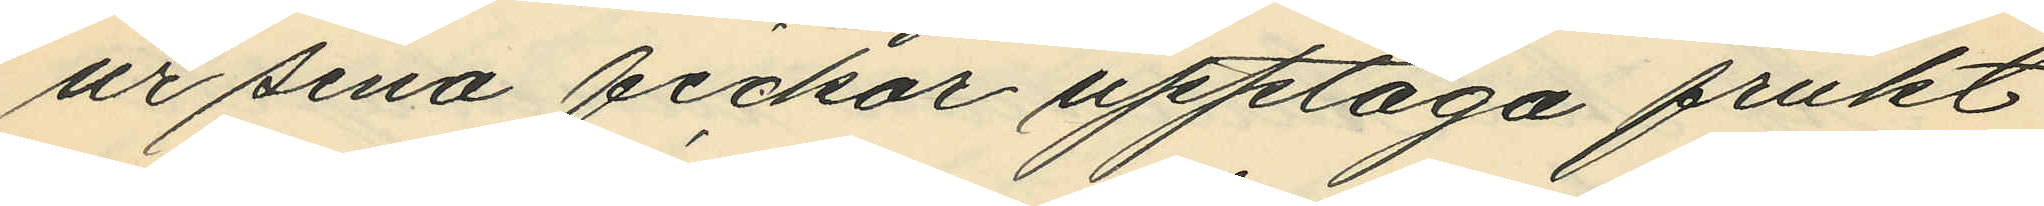ur sina fickor upptaga frukt
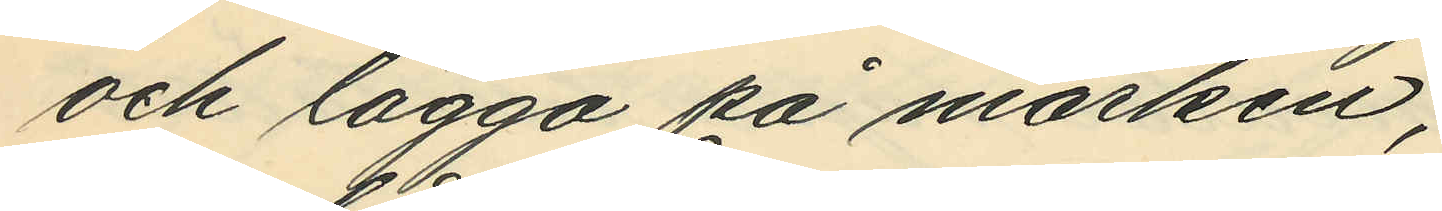och lägga på marken;
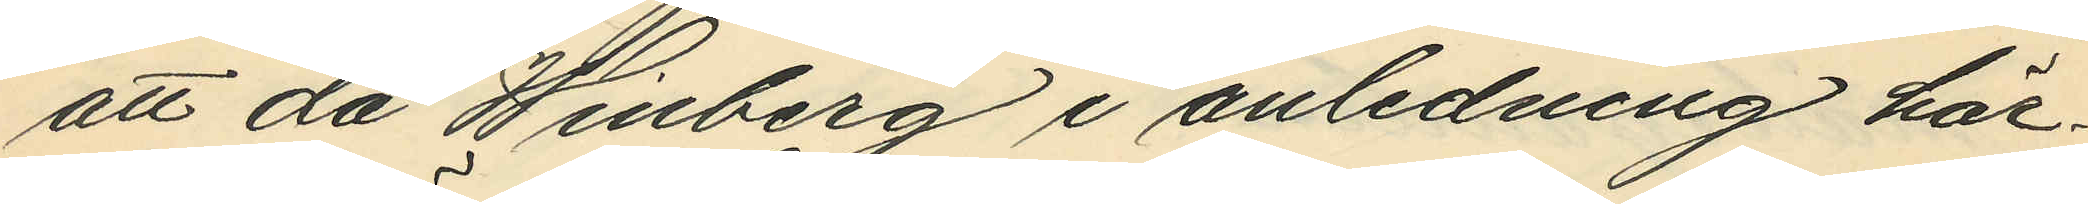att då Winberg i anledning här¬
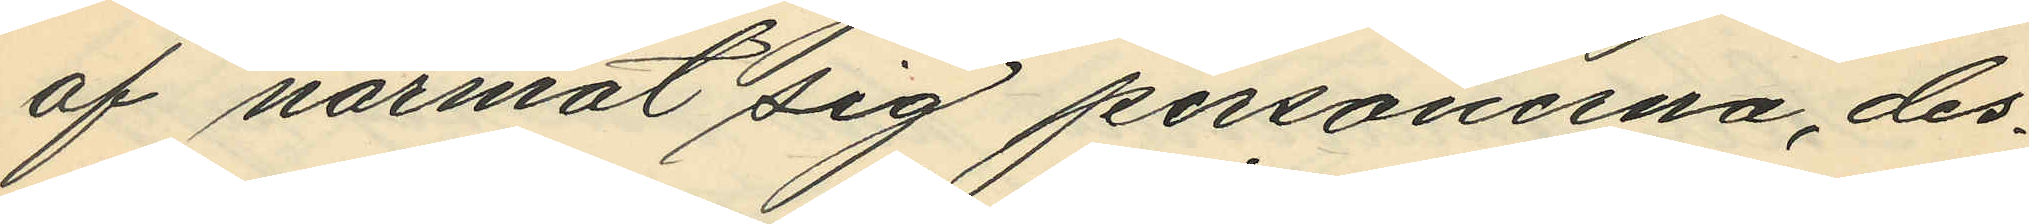af närmat sig personerna, des¬
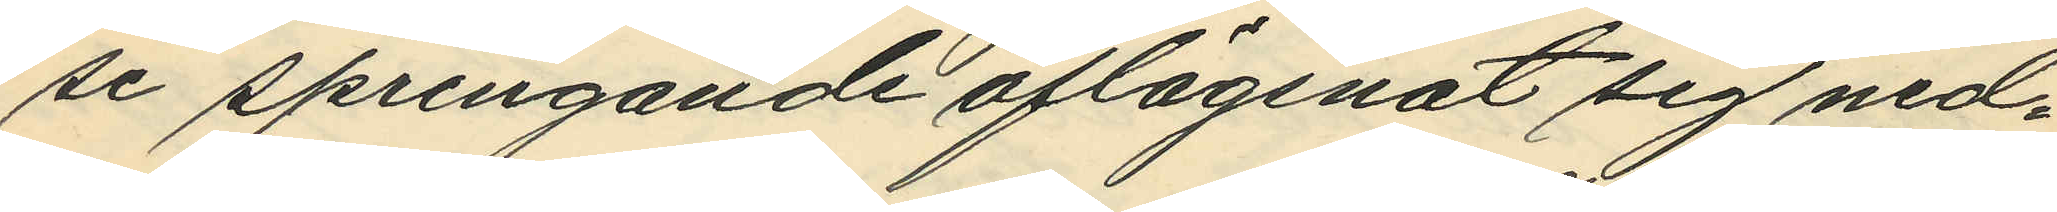se springande aflägsnat sig ned¬
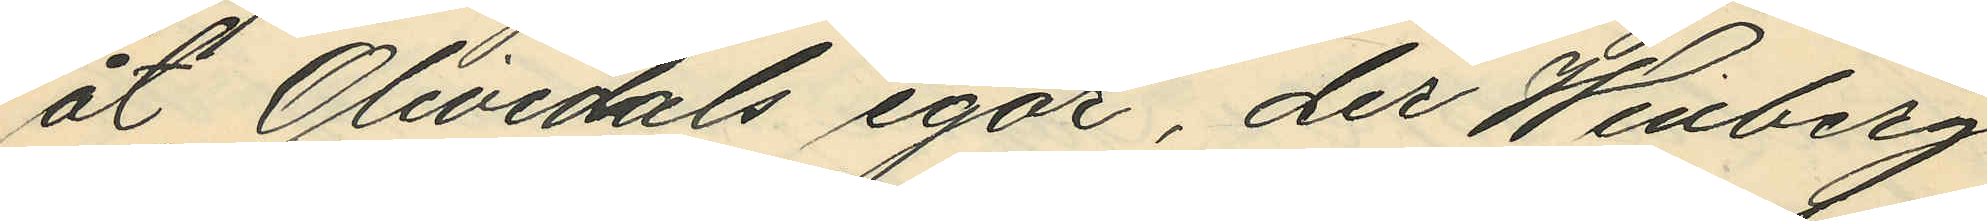åt Olivedals egor, der Winberg
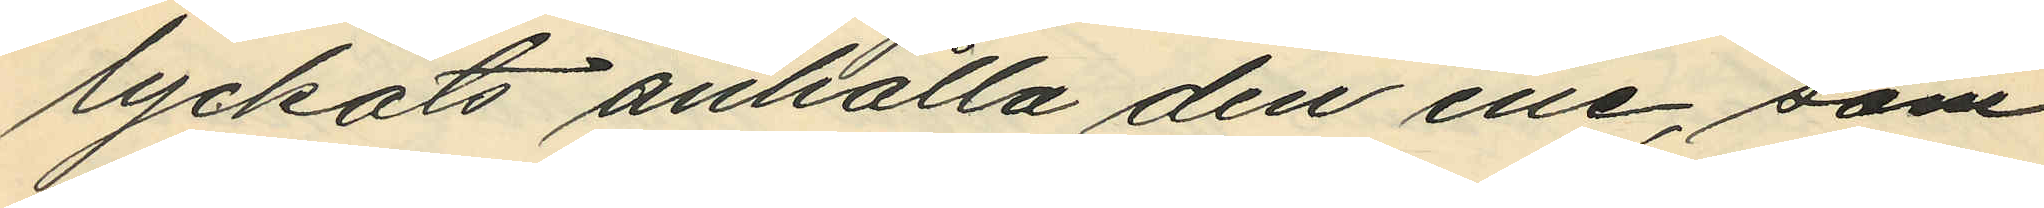lyckats anhålla den ene, som
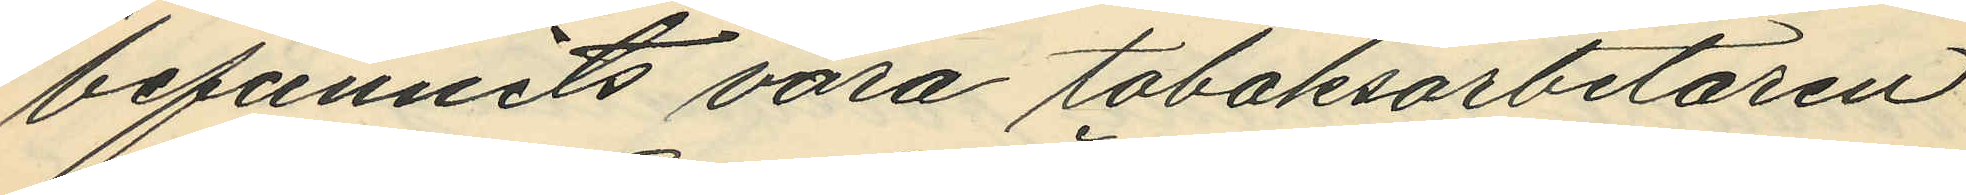befunnits vara tobaksarbetaren
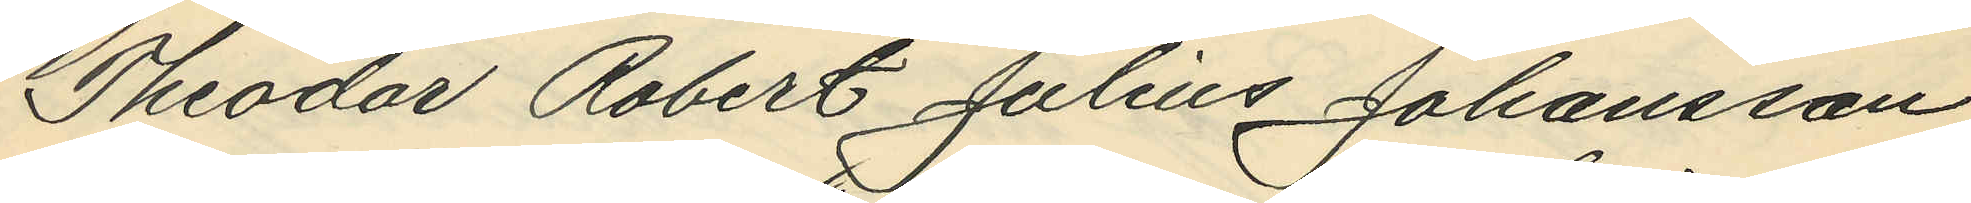Theodor Robert Julius Johansson,
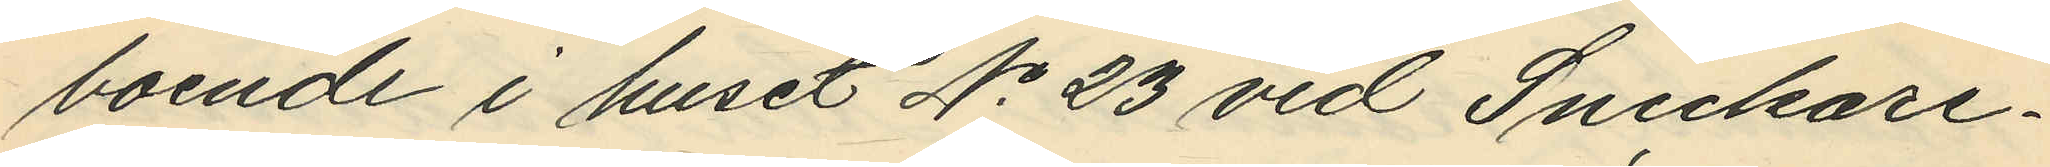boende i huset No 23 vid Snickare¬
